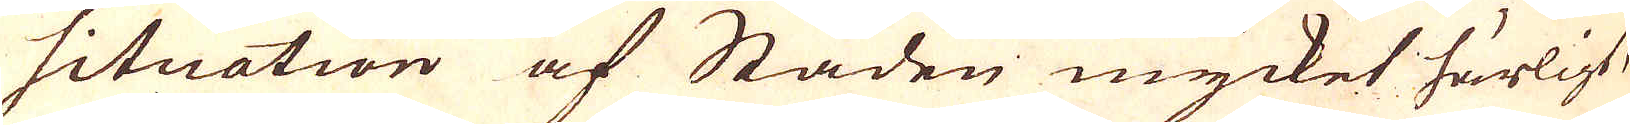situation af Staden mycket härligt,
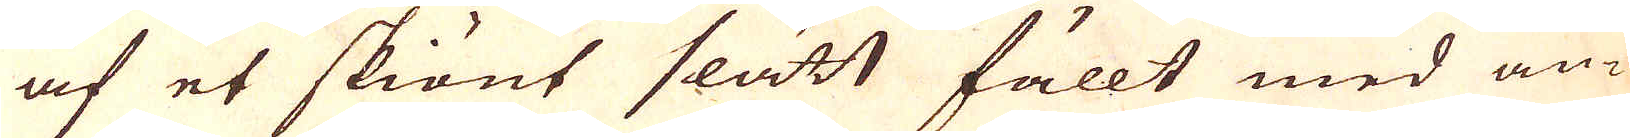af et skiönt slätt fällt med an-
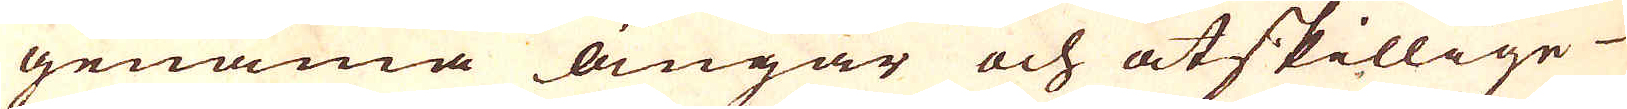genäma ängar och åtskillige
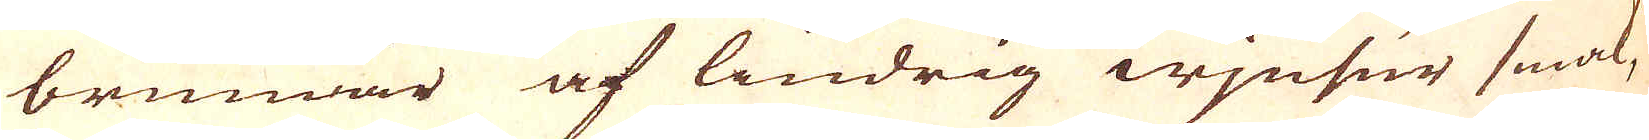brunnar af lindrig wjnsur smak,
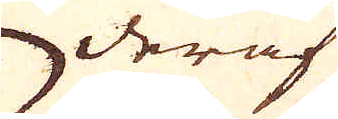deraf
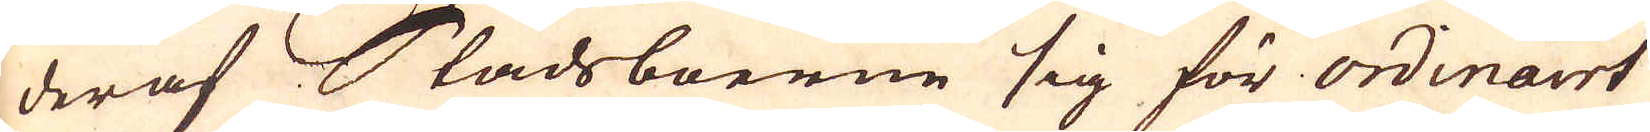deraf Stadsboerne sig för ordinairt
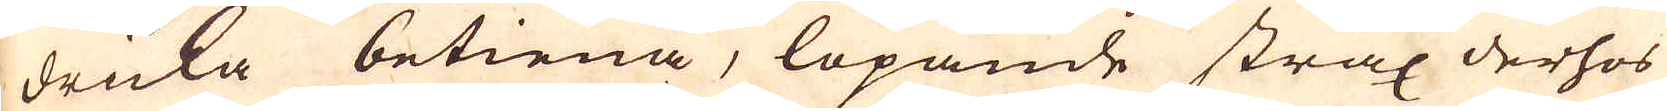dricka betiena, löpande strax derhos
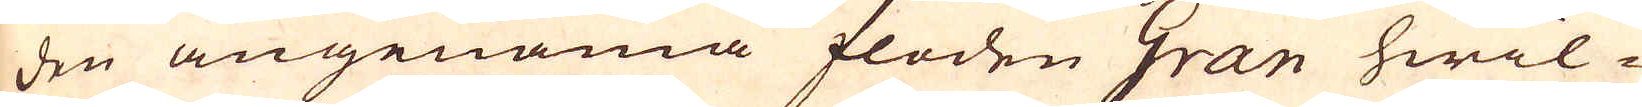den angenäma floden Gran hwil-
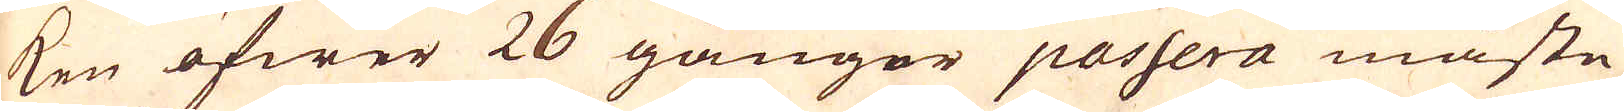ken öfwer 26 gånger passera måste
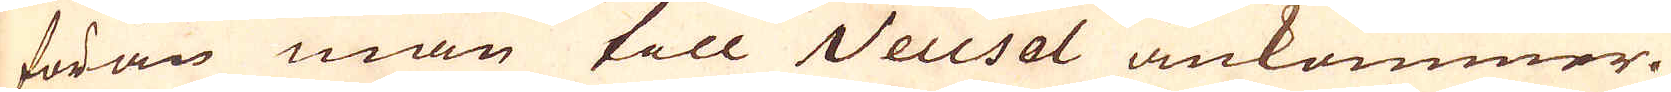förän man till Neusol ankommer.
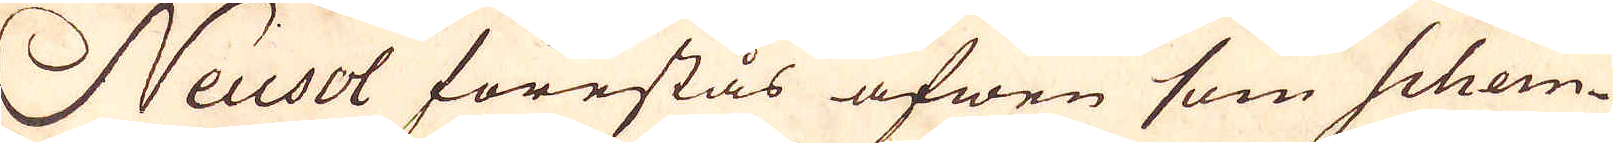Neusol förestås äfwen som schem-
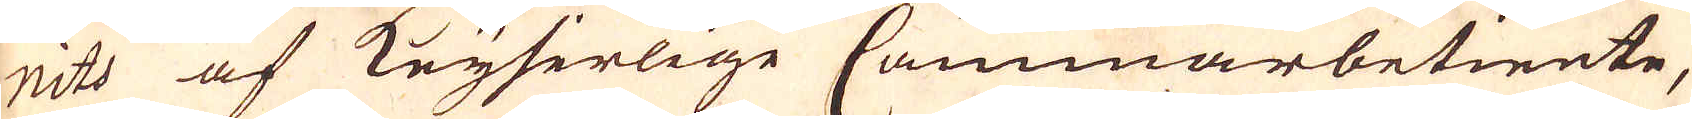nits af Keyserlige Cammarbetiente,
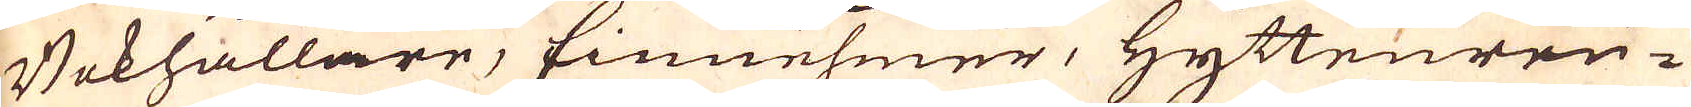Bokhållare, Einnehmer, Hyttenreu-
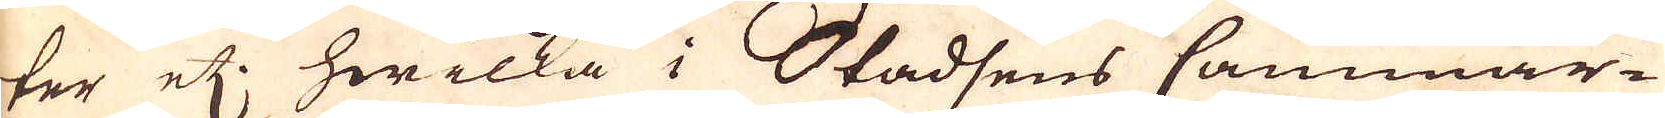ter etc: hwilka i Stadsens Cammar-
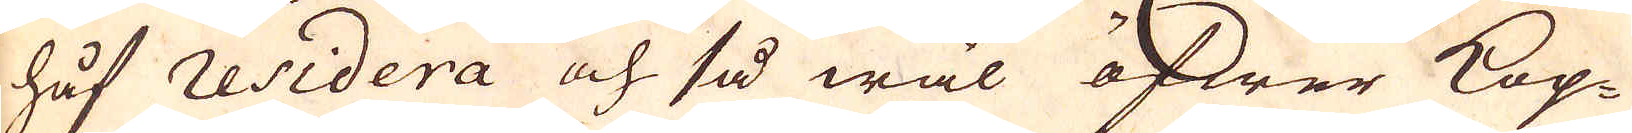håf residera och så wäl öfwer Kop-
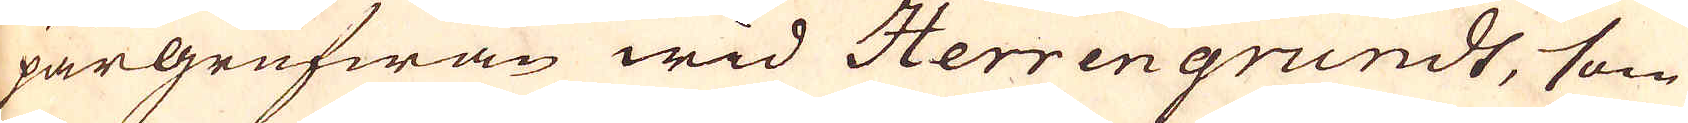pargrufwan wid Herrengrundt, som
